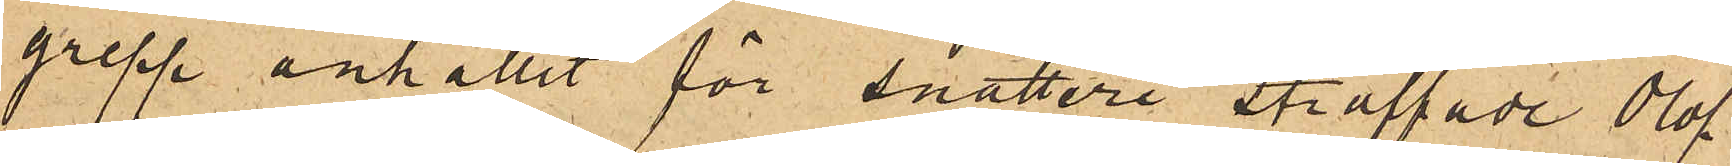grepp anhållit för snatteri straffade Olof
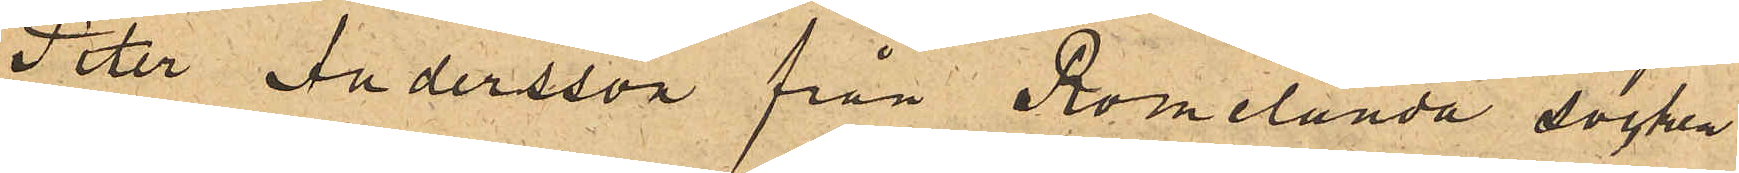Peter Andersson från Romelanda socken
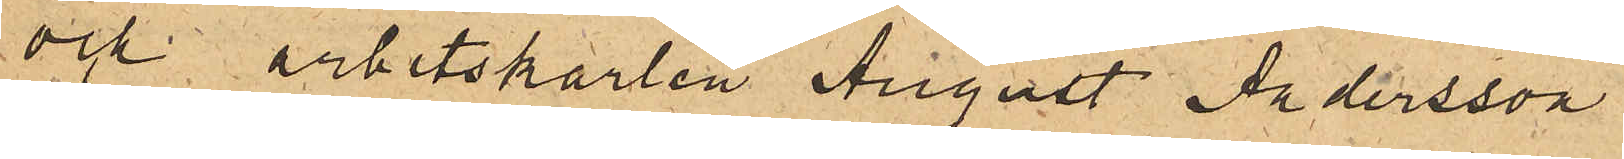och arbetskarlen August Andersson
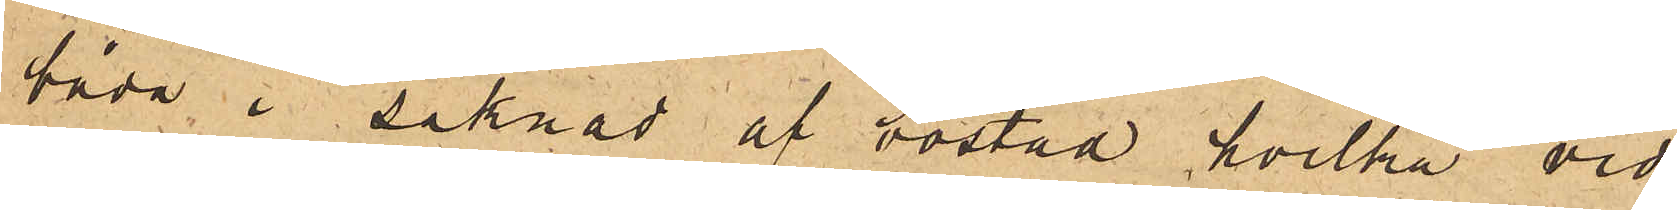båda i saknad af bostad, hvilka vid
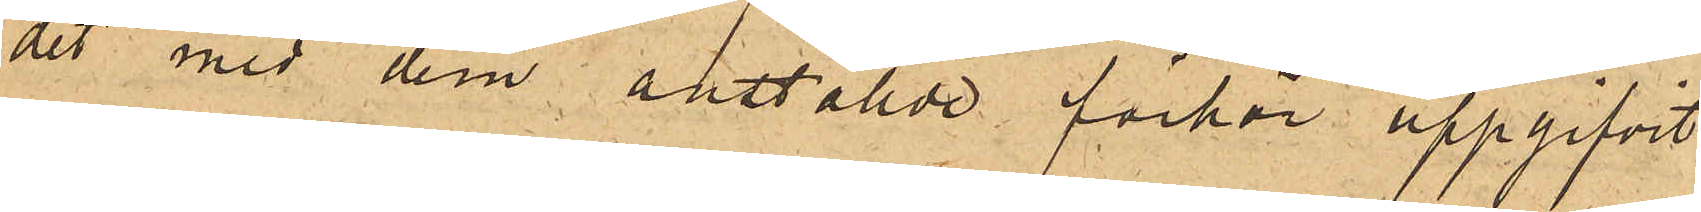det med dem anställde förhör uppgifvit
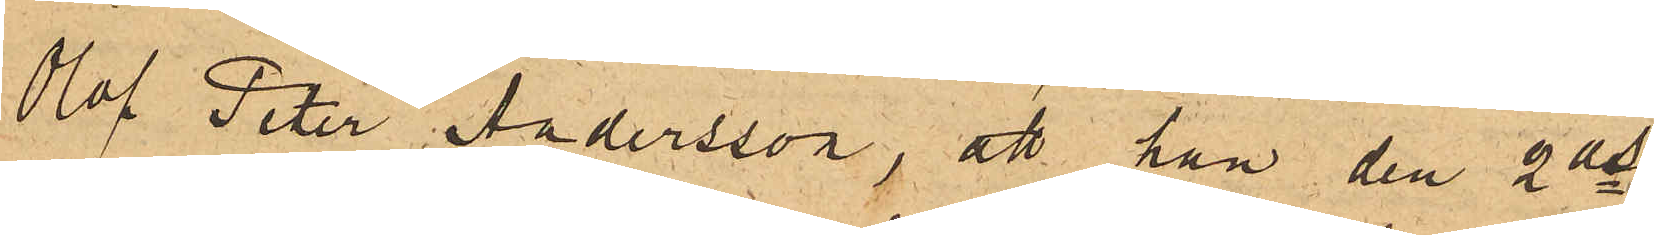Olof Peter Andersson, att han den 2ds
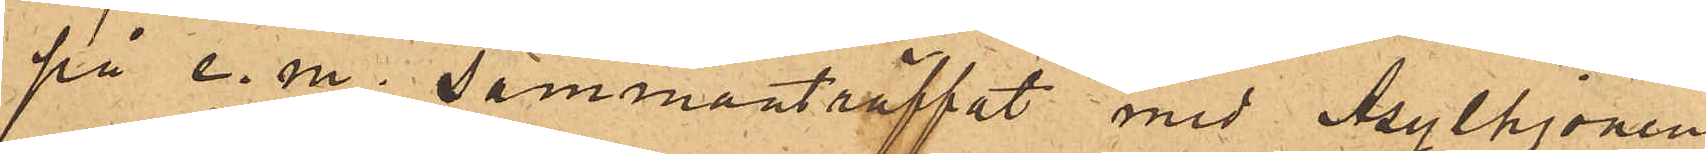på e. m. sammanträffat med Asylhjonen
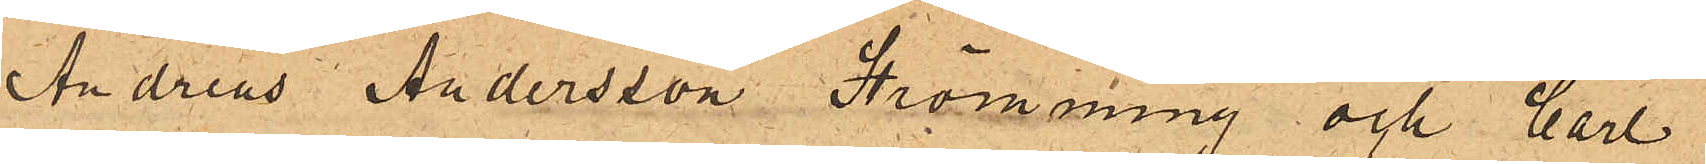Andreas Andersson Strömming och Carl
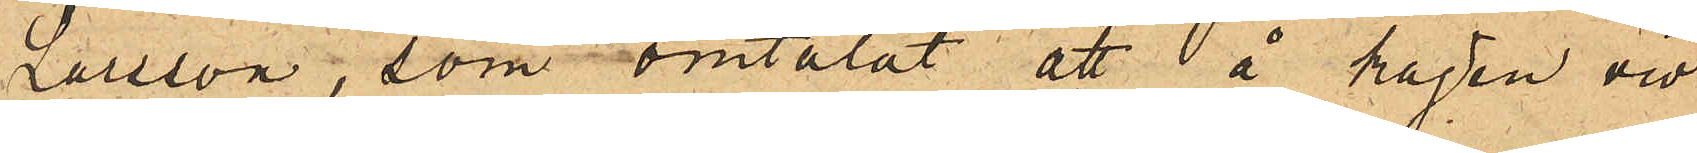Larsson, som omtalat att å kajen vid
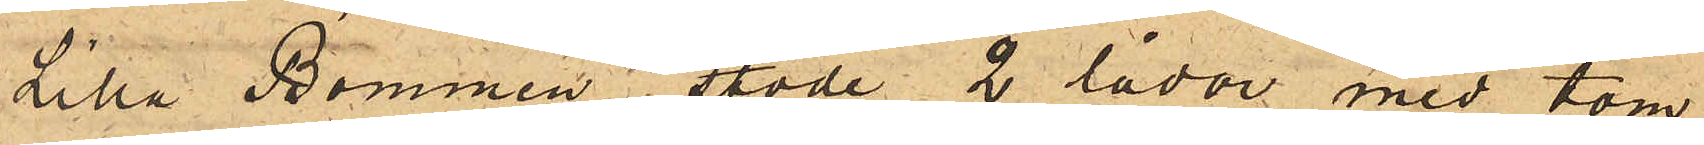Lilla Bommen stode 2 lådor med tom¬
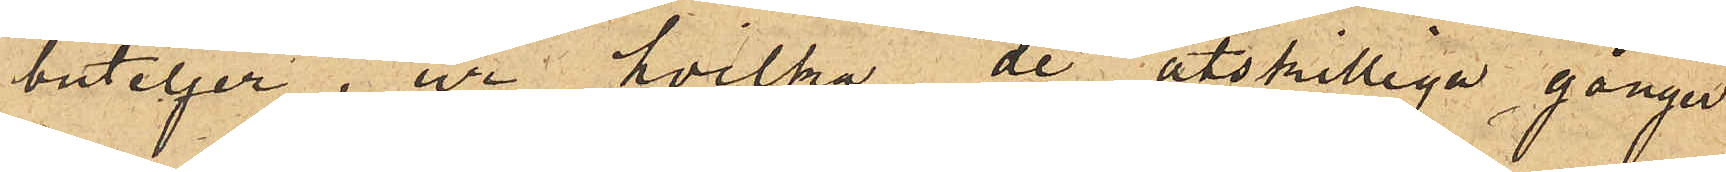buteljer, ur hvilka de åtskilliga gånger
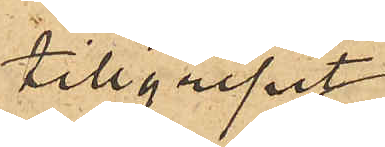tillgripit
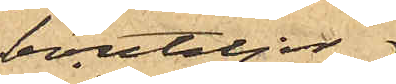bouteljer;
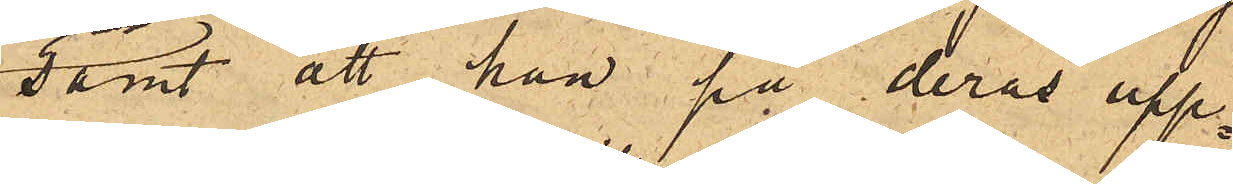samt att han på deras upp¬
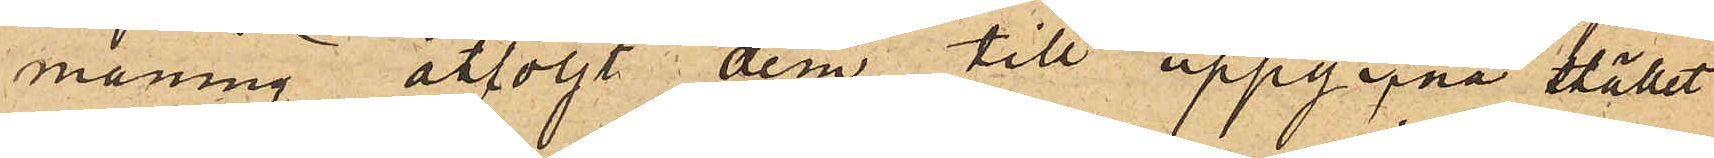maning åtföljt dem till uppgifna stället
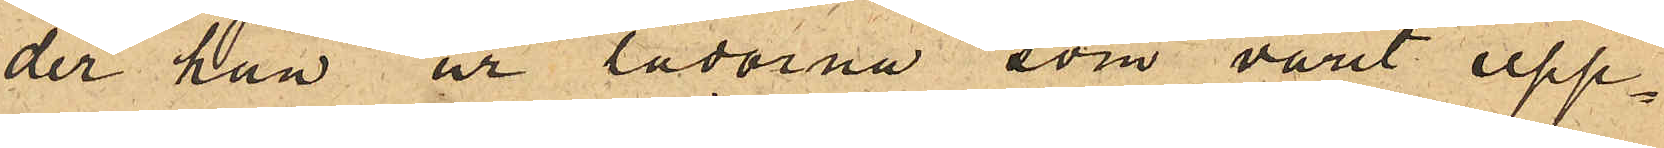der han ur lådorna som varit upp¬
